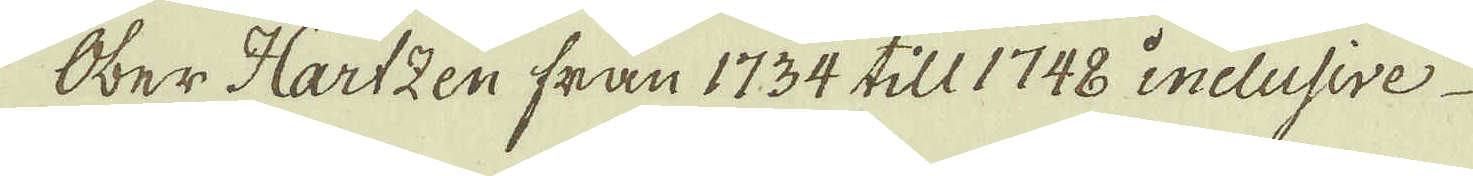Ober Hartzen från 1734 till 1748 inclusive
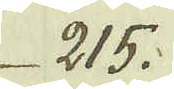215.
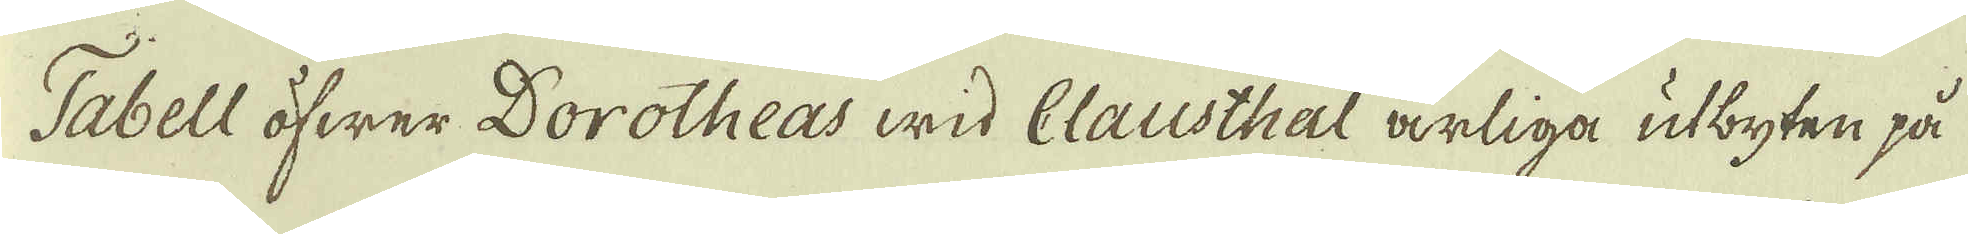Tabell öfwer Dorotheas wid Clausthal årliga utbyten på
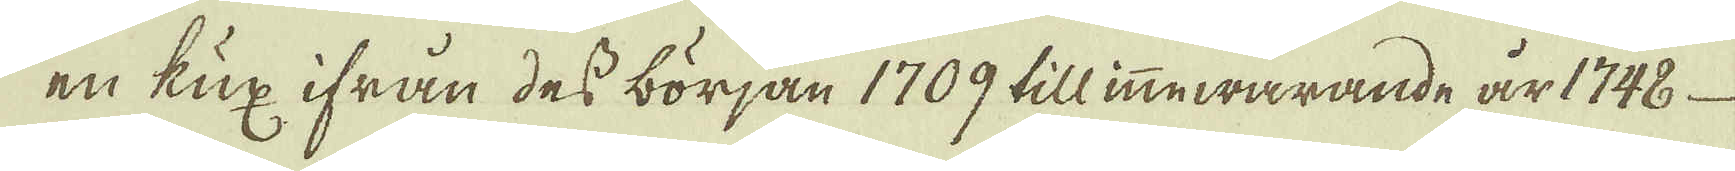en kux ifrån des början 1709 till inewarande år 1748
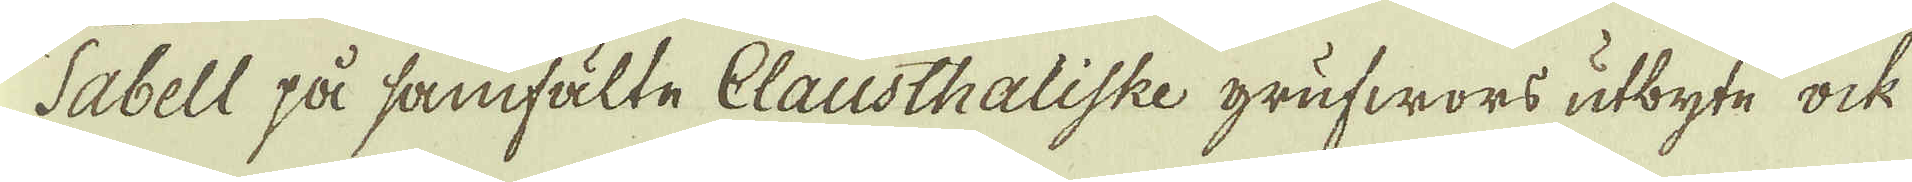Tabell på samfälte Clausthaliske grufwors utbyte ock
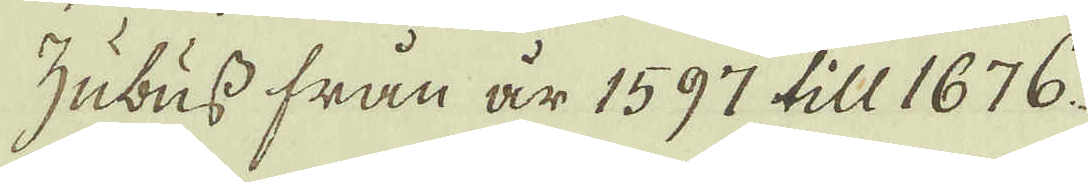Zubuss från är 1597 till 1676.
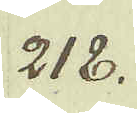218.
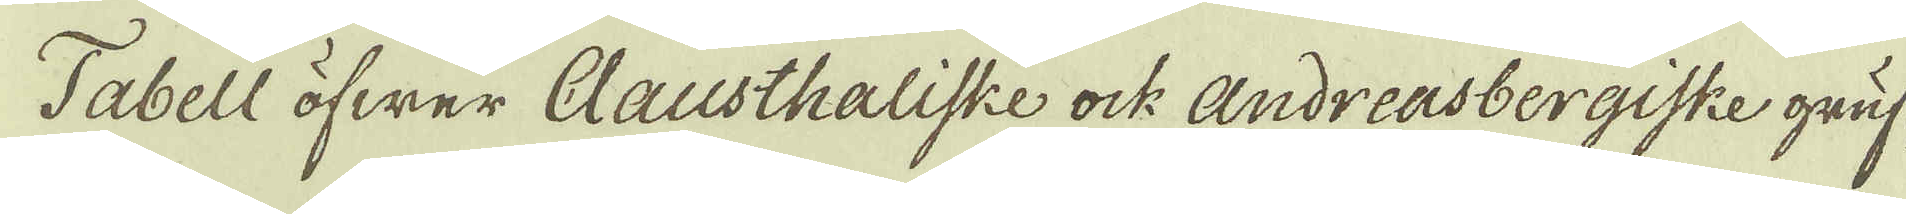Tabell öfwer Clausthaliske ock Andreasbergiske gruf-
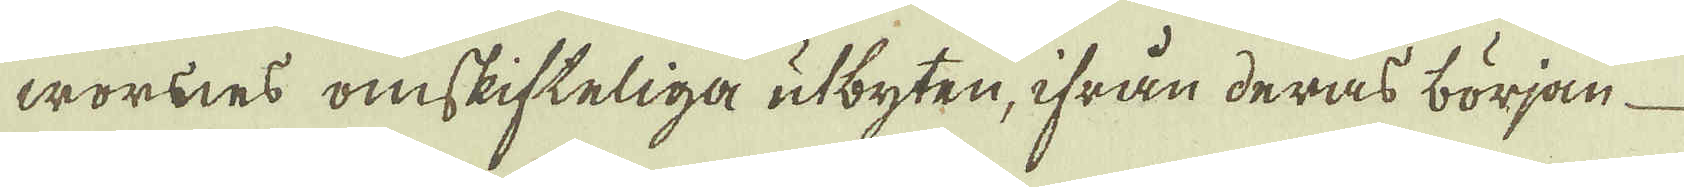wornes omskifteliga utbyten, ifrån deras början
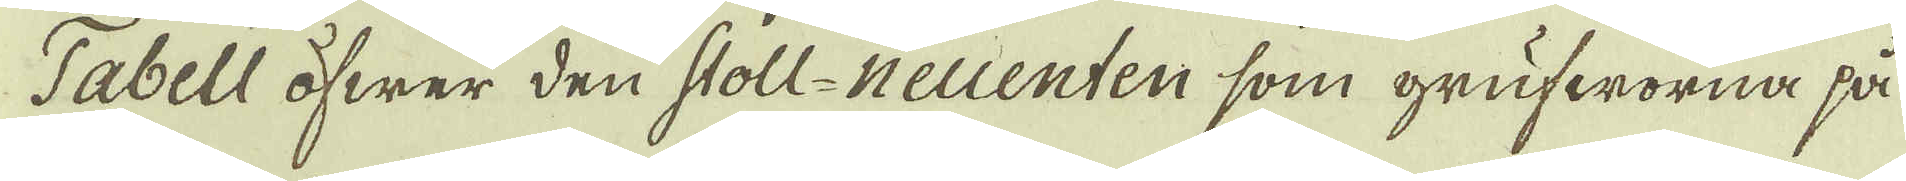Tabell öfwer den Stoll-neuenten som grufworna på
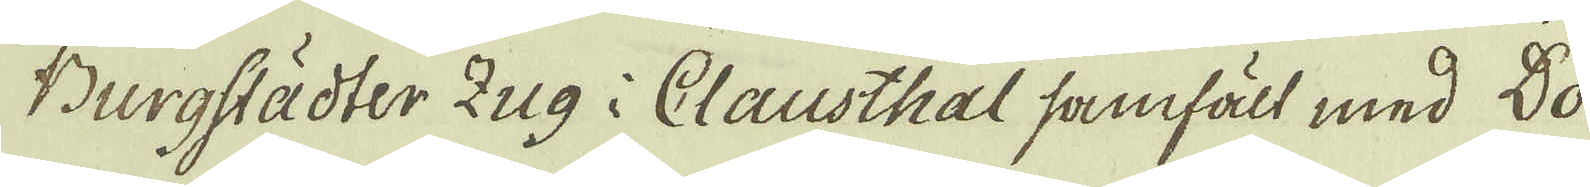Burgstädter Zug i Clausthal samfält med Do-
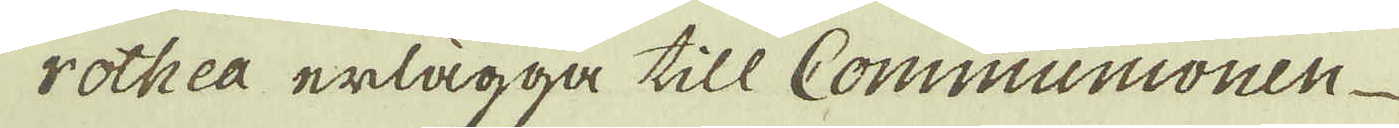rothea erlägga till Communionen
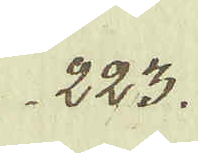223.
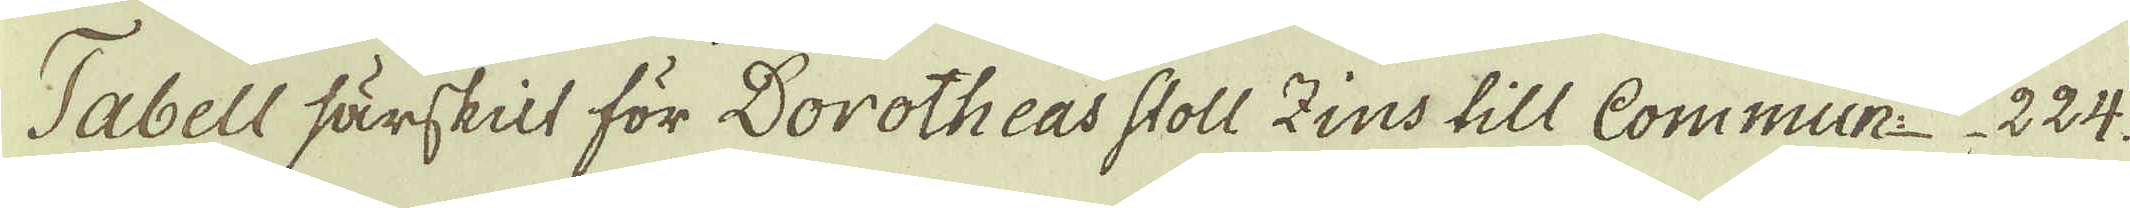Tabell särskilt för Dorotheas Stoll Zins till Commun: 224.
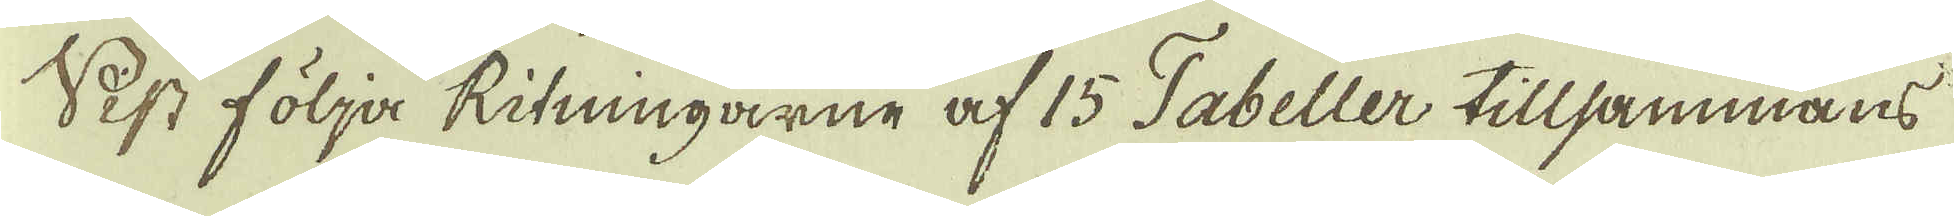Sist följa Ritningarne af 15 Tabeller tillsammans
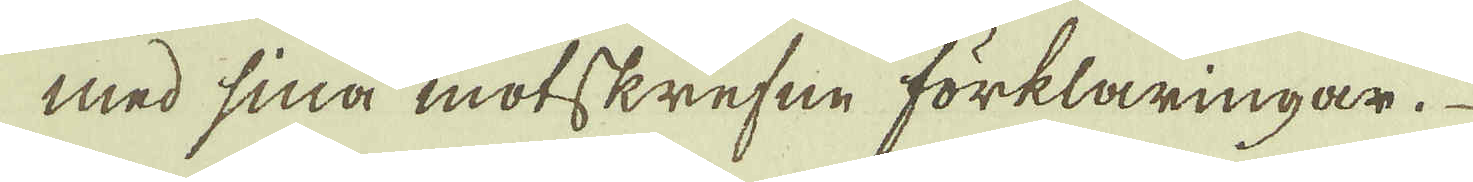med sina motskrefne förklaringar.
